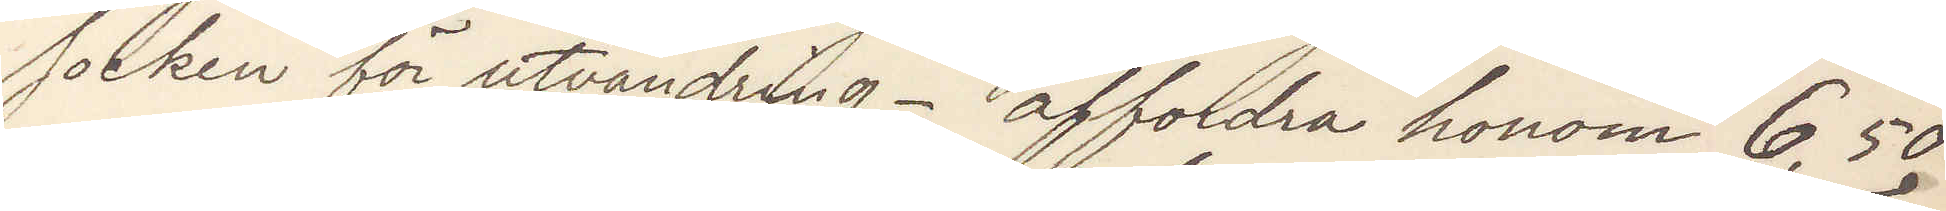socken för utvandring. affordra honom 6,50
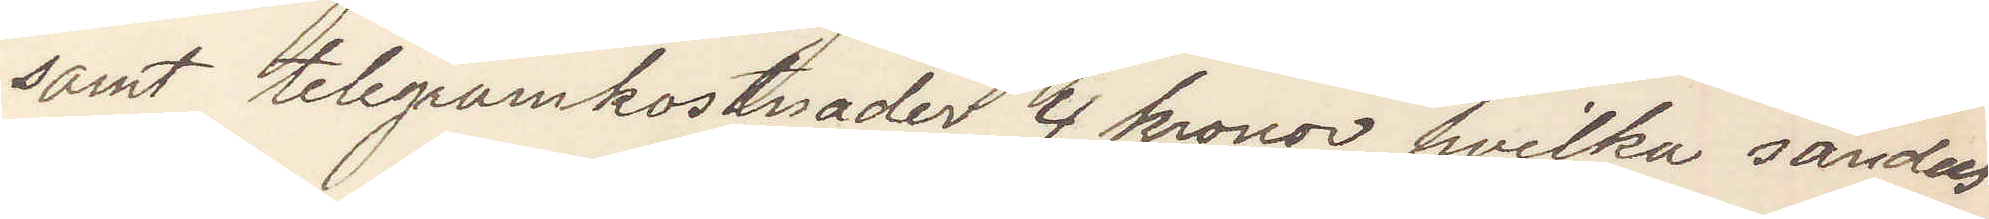samt telegramkostnader 4 kronor hvilka sändes
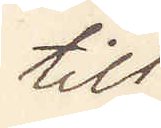till
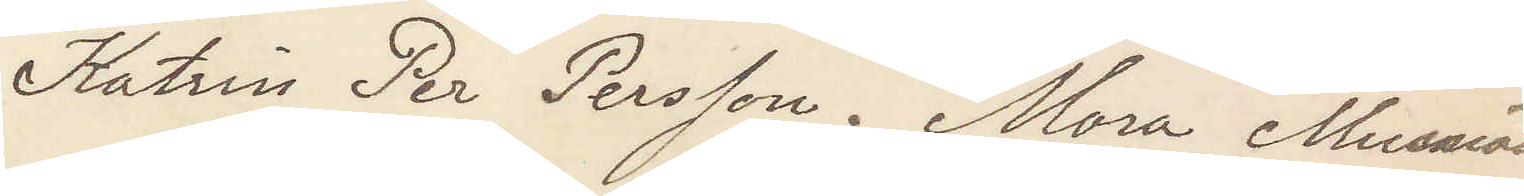Katrin Per Persson. Mora Musnäs
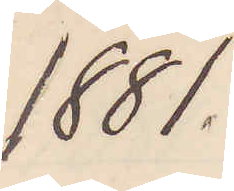1881.
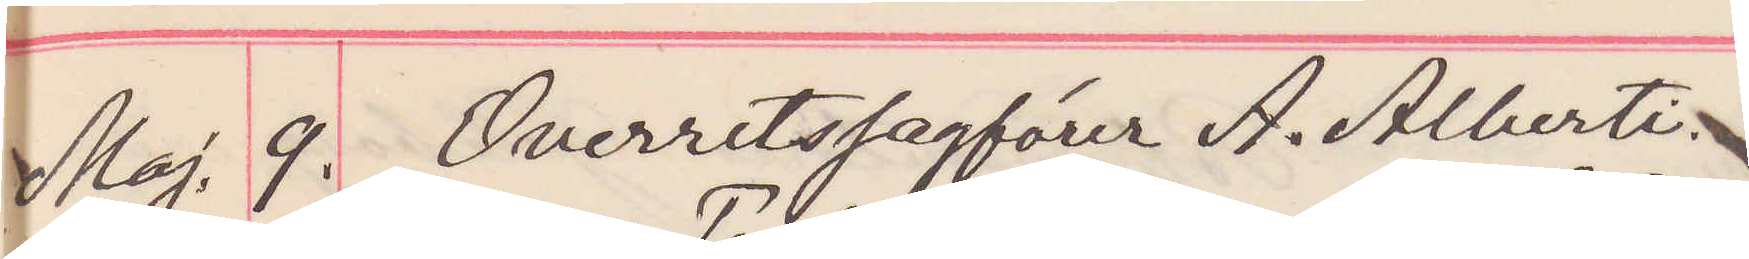Maj. 9. Overrettssagförer A. Alberti
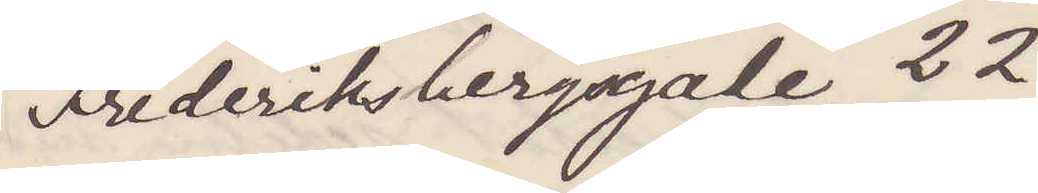Fredriksbergsgade 22.
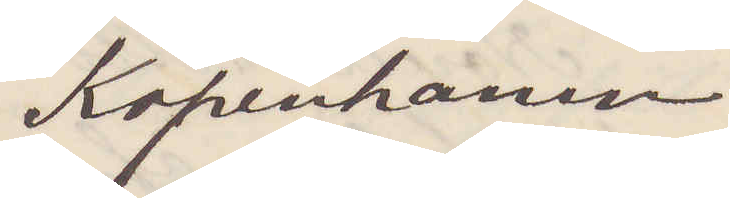Köpenhamn
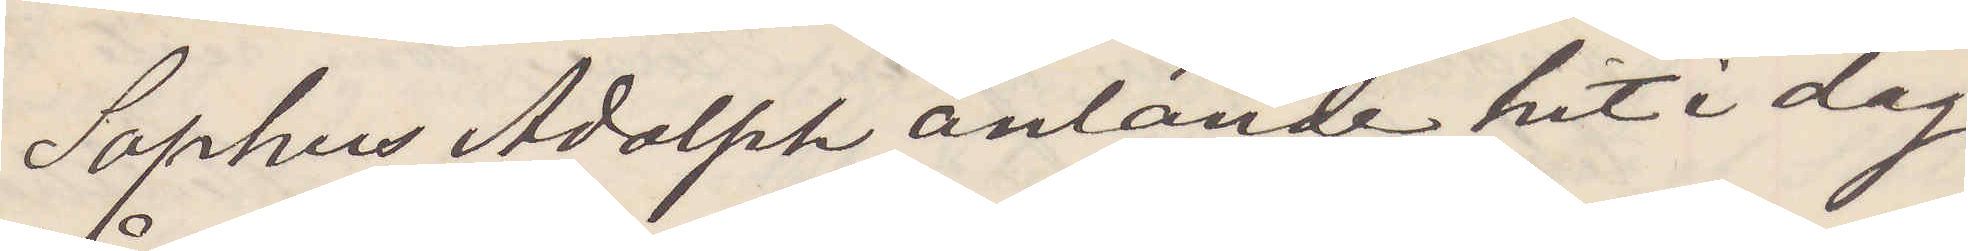Sophus Adolph anlände hit i dag
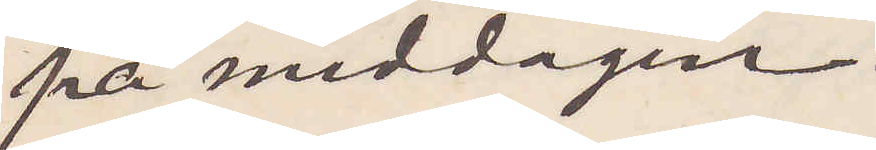på middagen.
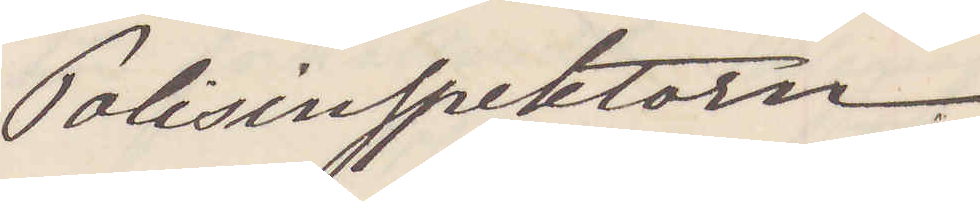Polisinspektorn
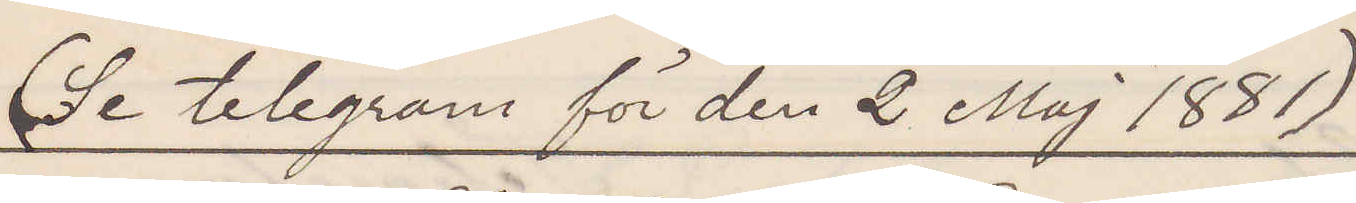(Se telegram för den 2 Maj 1881)
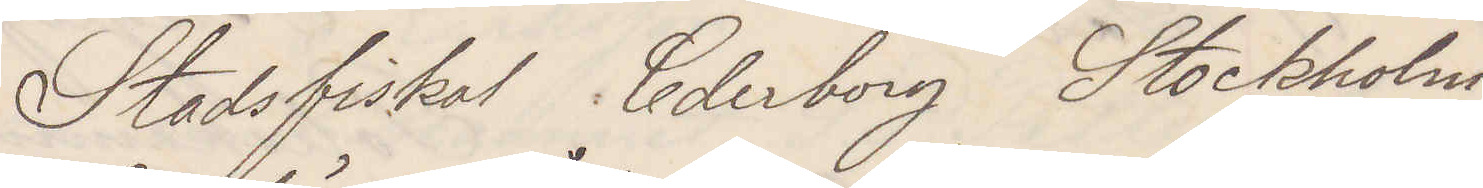Stadsfiskal Cederborg Stockholm.
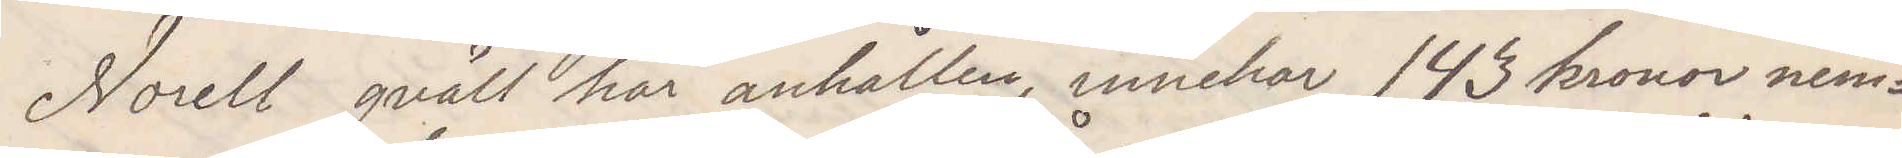Norell qväll här anhållen innehar 143 kronor nem¬
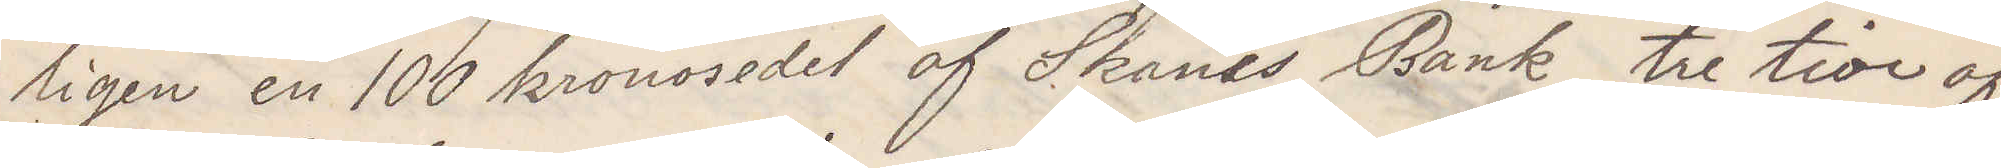ligen en 100 kronosedel af Skånes Bank tre tior af
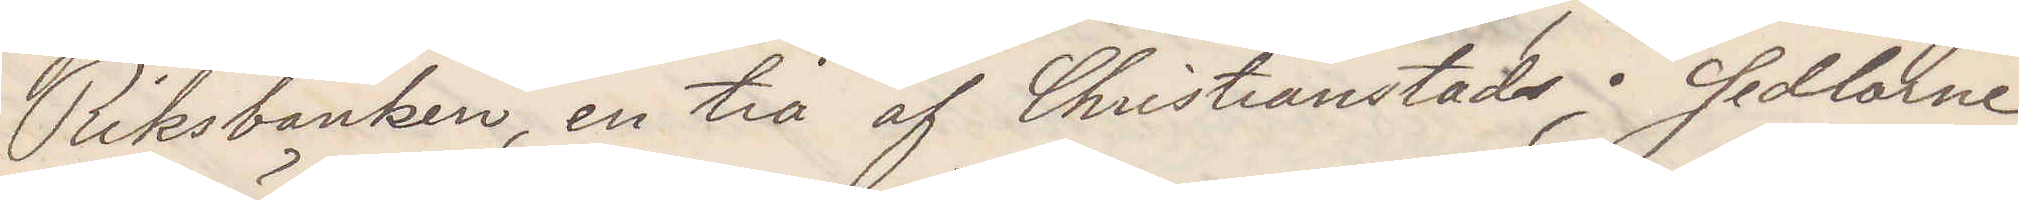Riksbanken, en tia af Christianstads; Sedlarne
